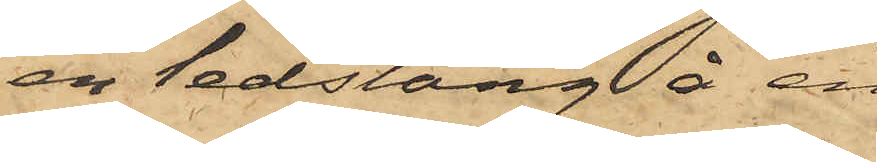en ledstång å en
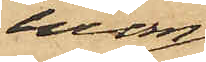inom 
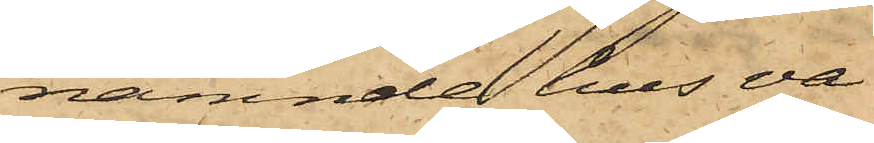i nämnde hus va¬
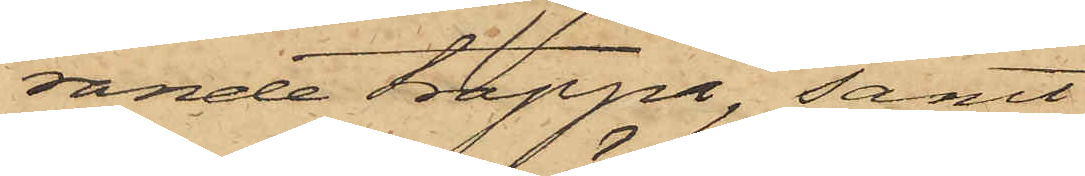rande trappa, samt
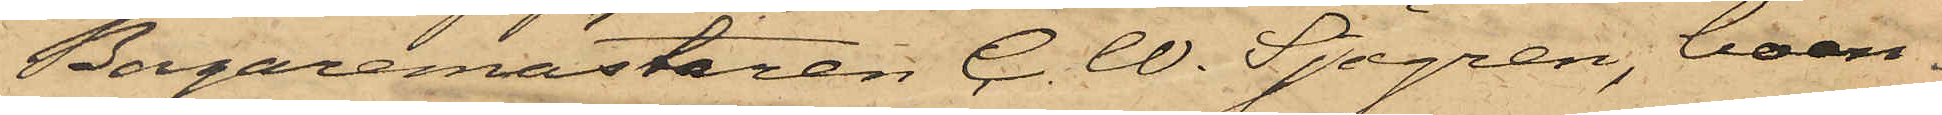Bagaremästaren C. W. Sjögren, boen¬
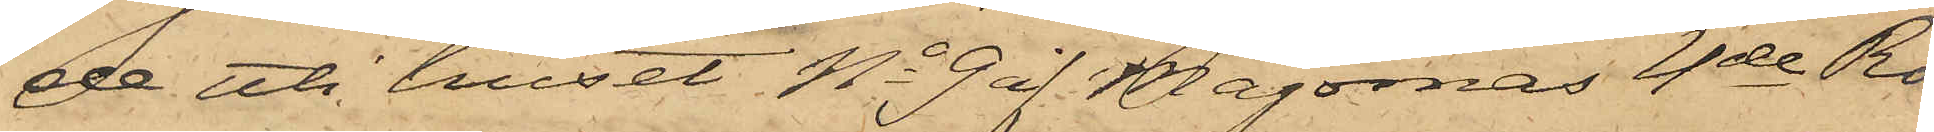de uti huset No 9 å Majornas 4de Ro¬
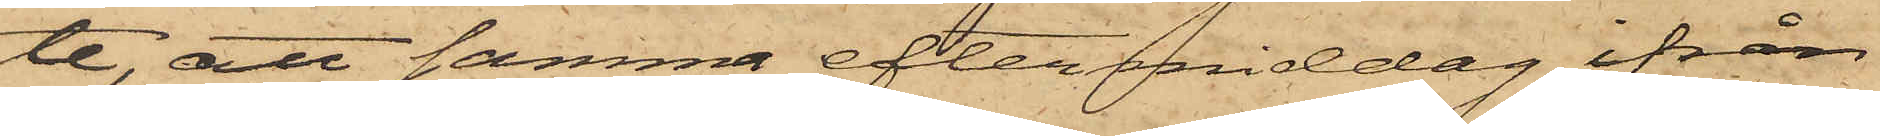te, att samma eftermiddag ifrån
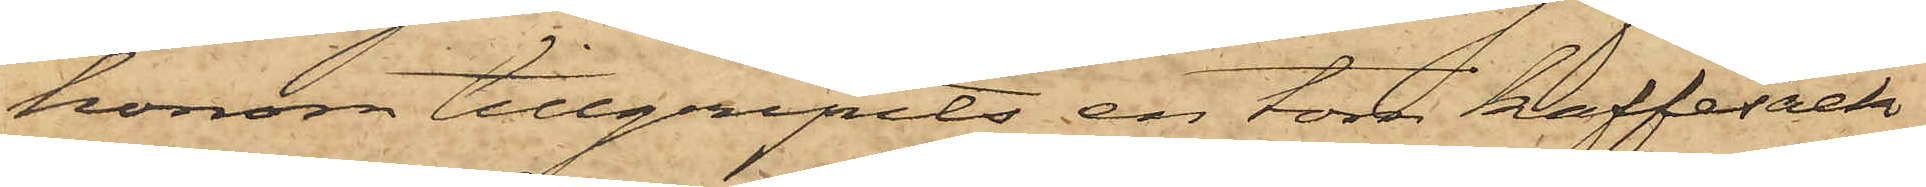honom tillgripits en tom kaffesäck,
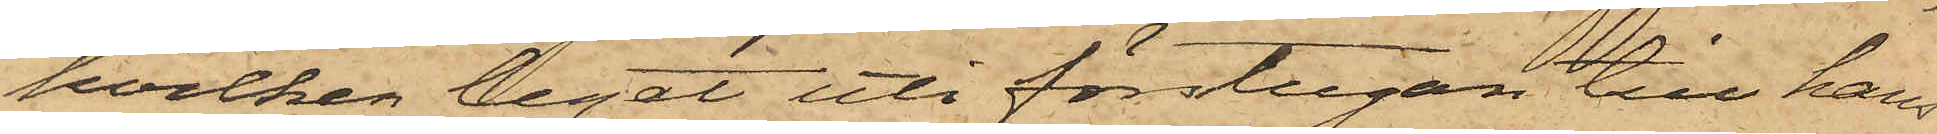hvilken legat uti förstugan till hans
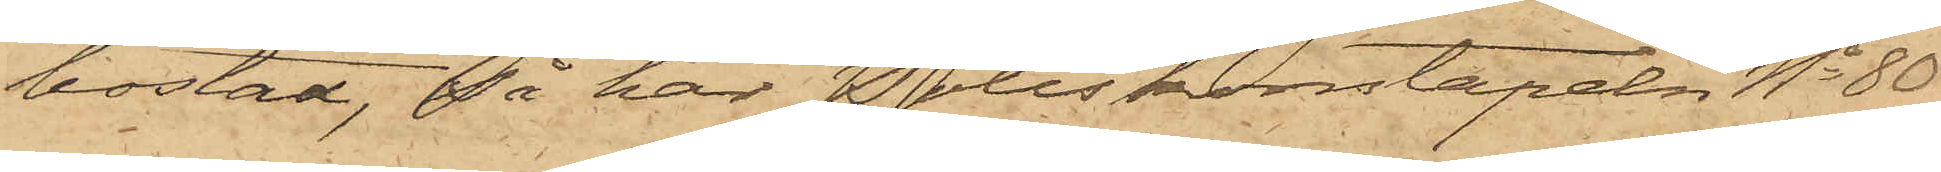bostad, så har Poliskonstapeln No 80
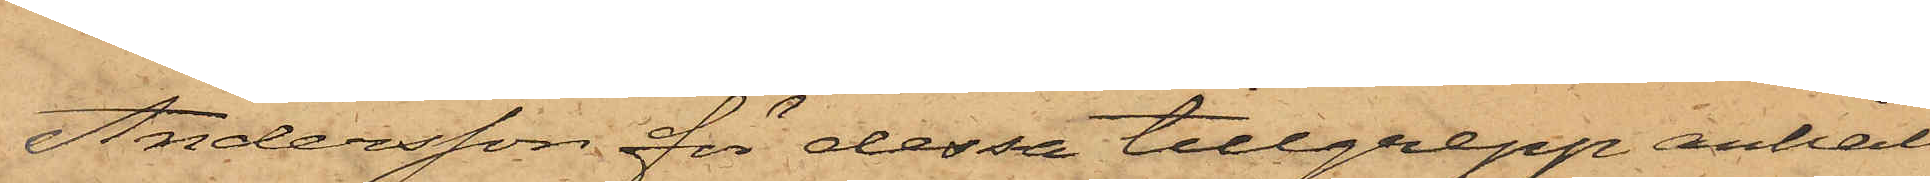Andersson för dessa tillgrepp anhål¬
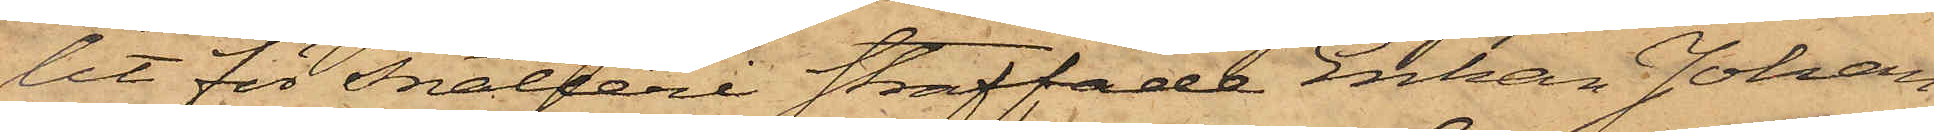lit för snatteri straffade Enkan Johan¬
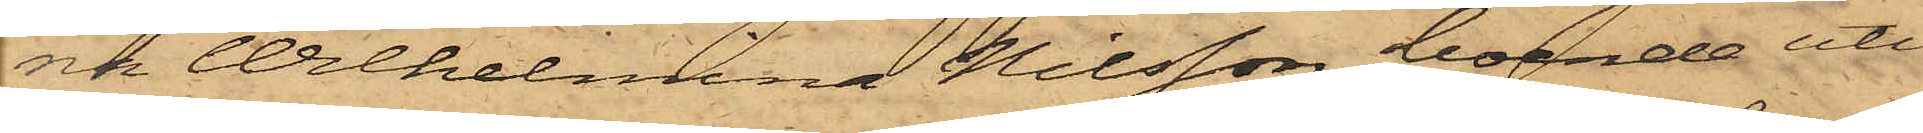ra Wilhelmina Nilsson, boende uti
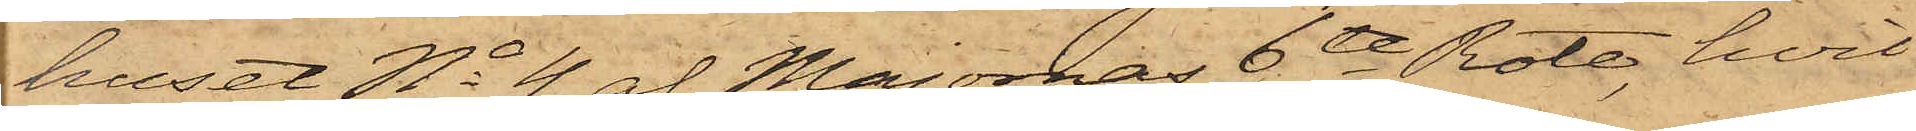huset No 4 af Majornas 6te Rote, hvil¬
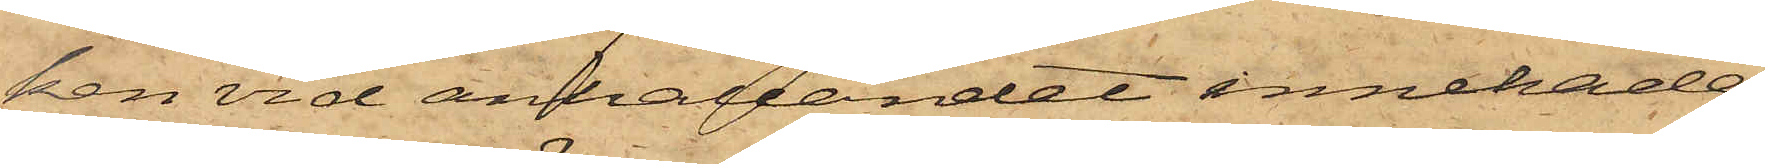ken vid anhållandet innehade
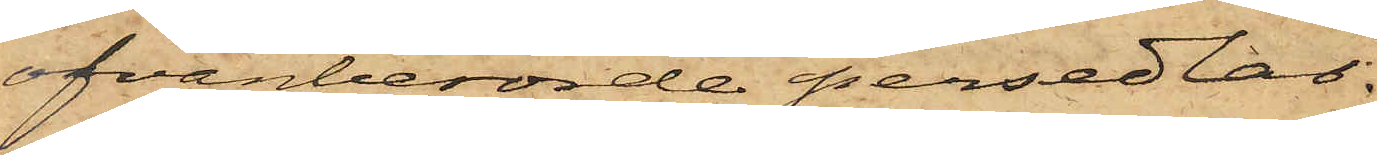ofvanberörde persedlar.
